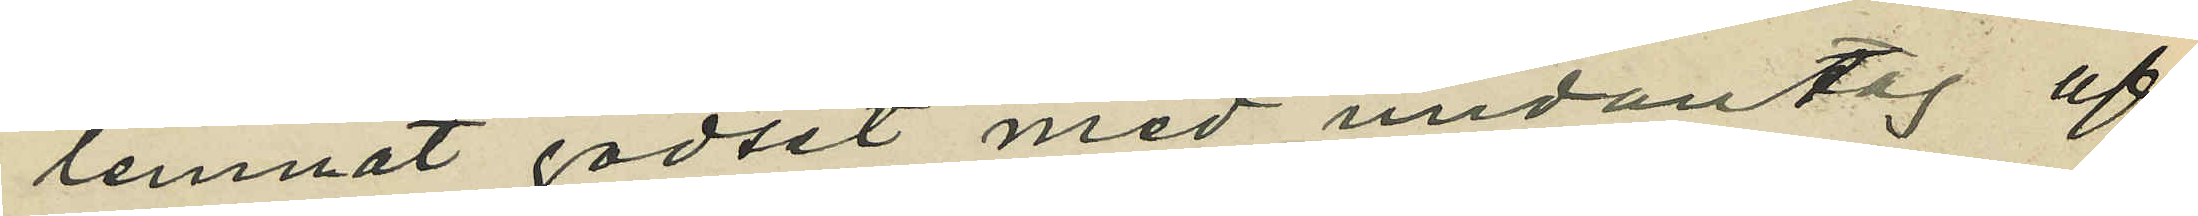lemnat godset med undantag af
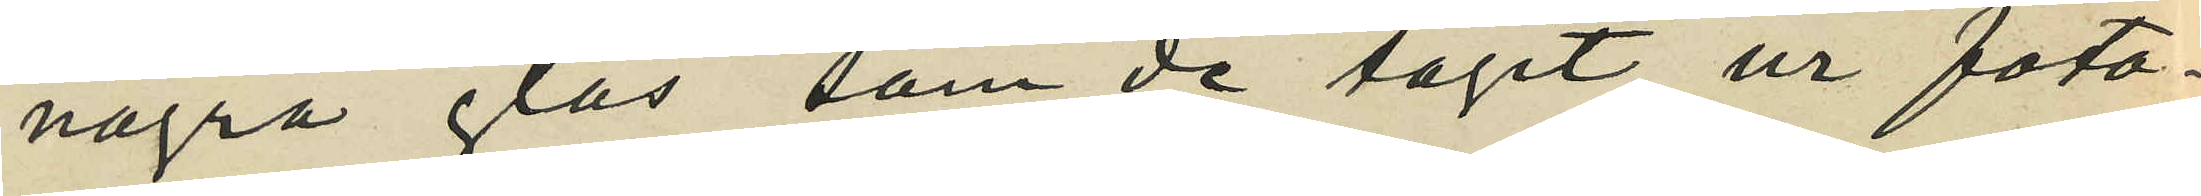några glas, som de tagit ur foto¬
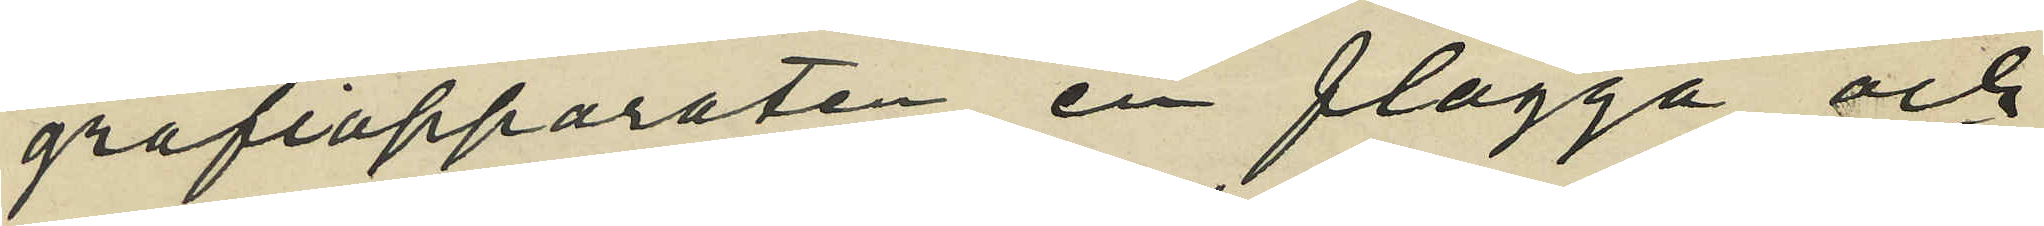grafiapparaten, en flagga och
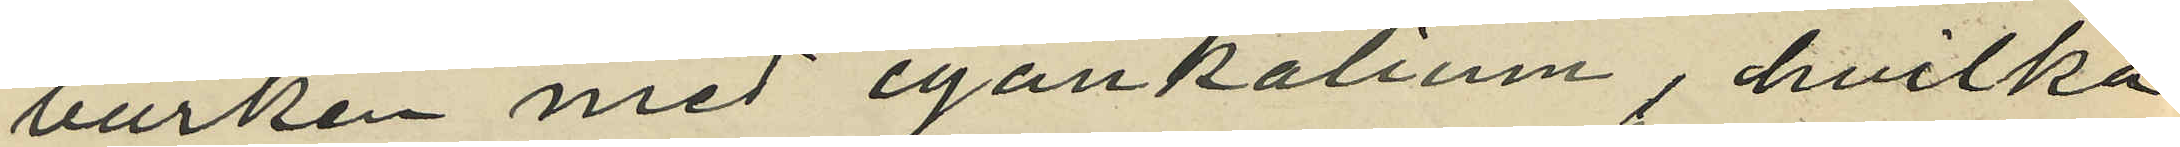burken med cyankalium, hvilka
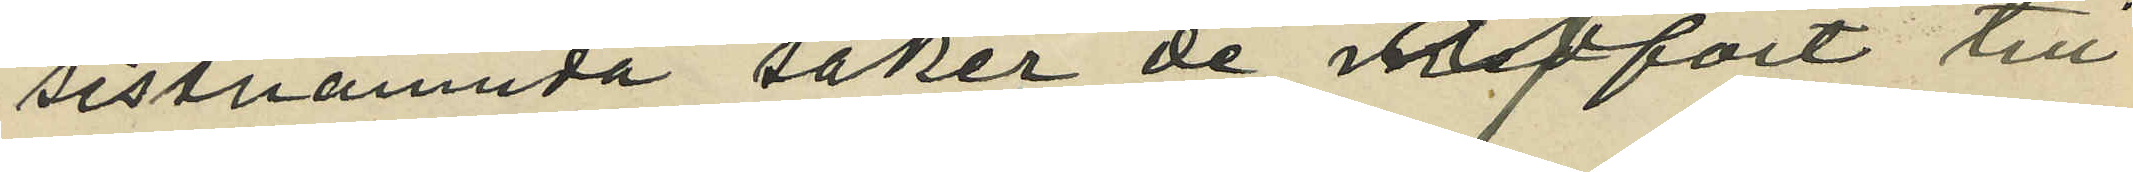sistnämnda saker de mefört till
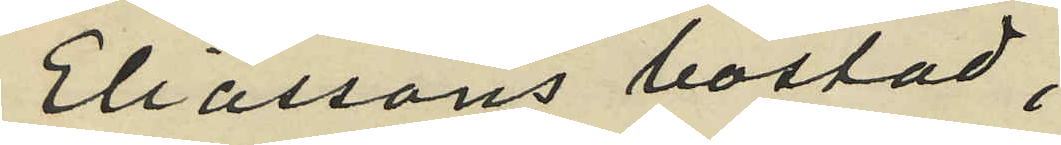Eliassons bostad;
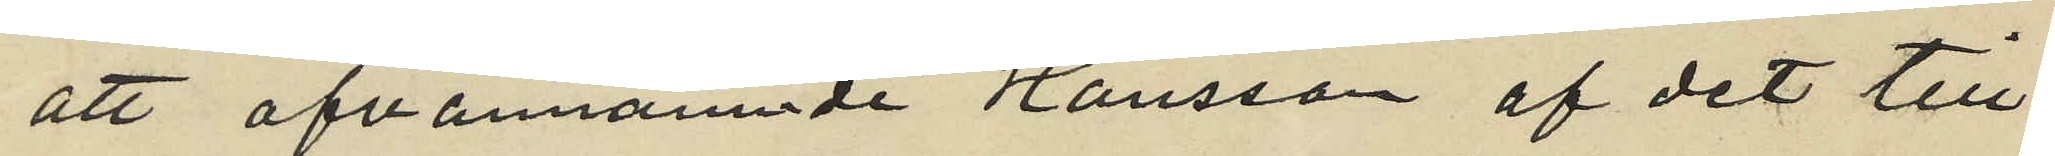att ofvannämnde Hansson af det till
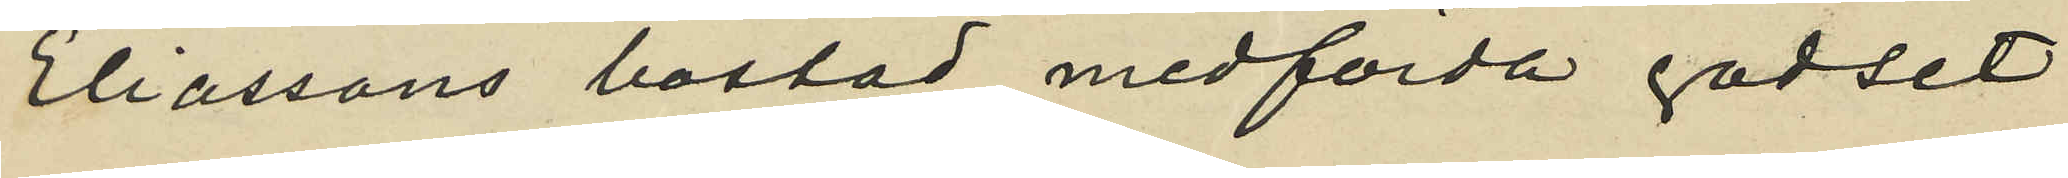Eliassons bostad medförda godset
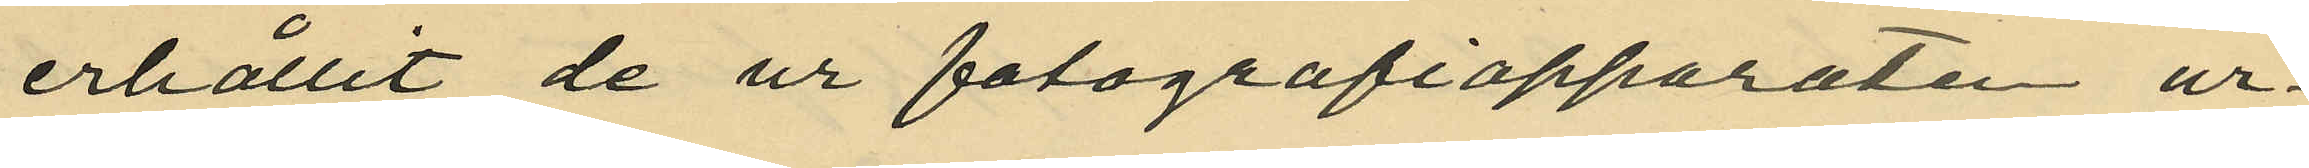erhållit de ur fotografiapparaten ur¬
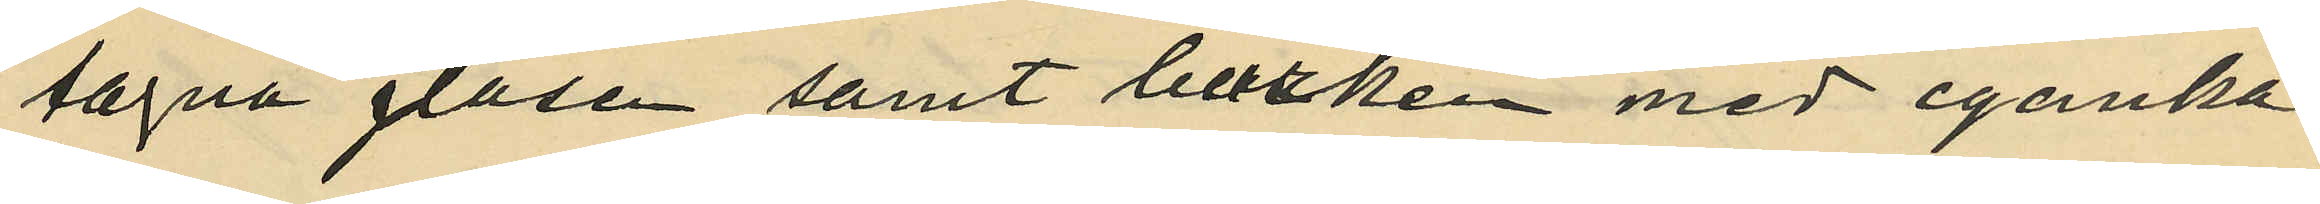tagna glasen samt burken med cyanka¬
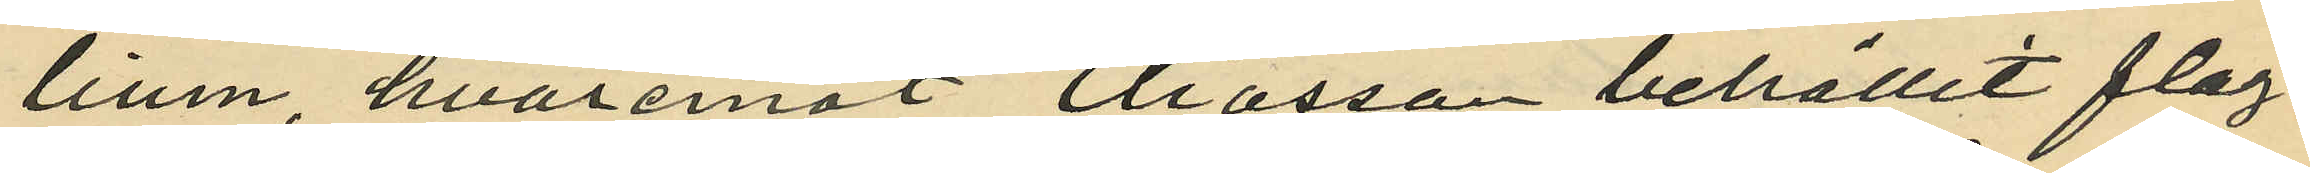lium, hvaremot Eliasson behållit flag¬
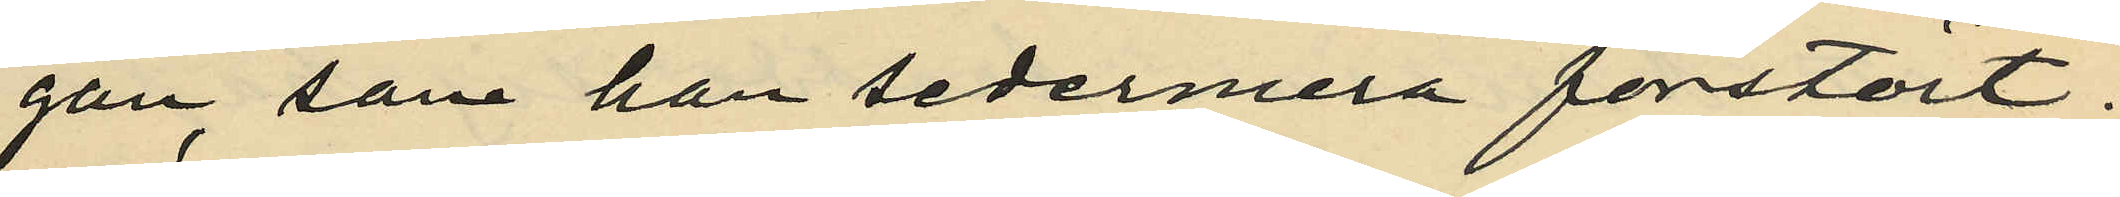gan, som han sedermera förstört,
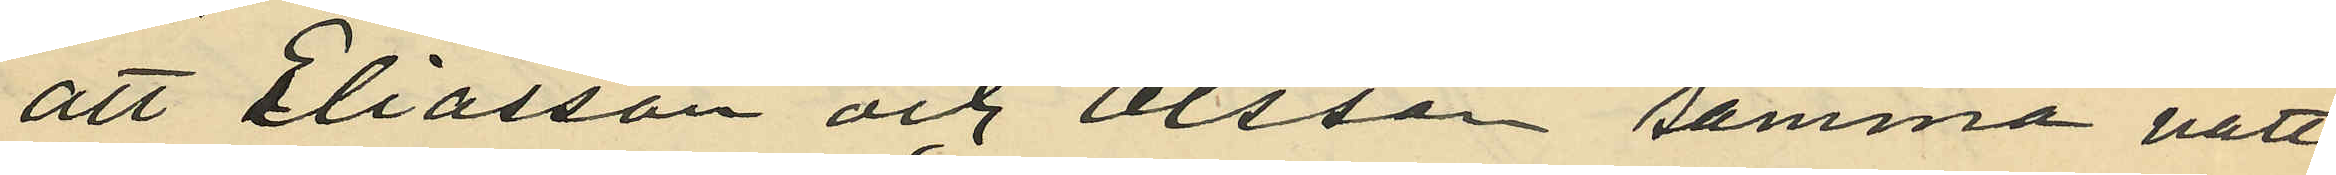att Eliasson och Olsson samma natt,
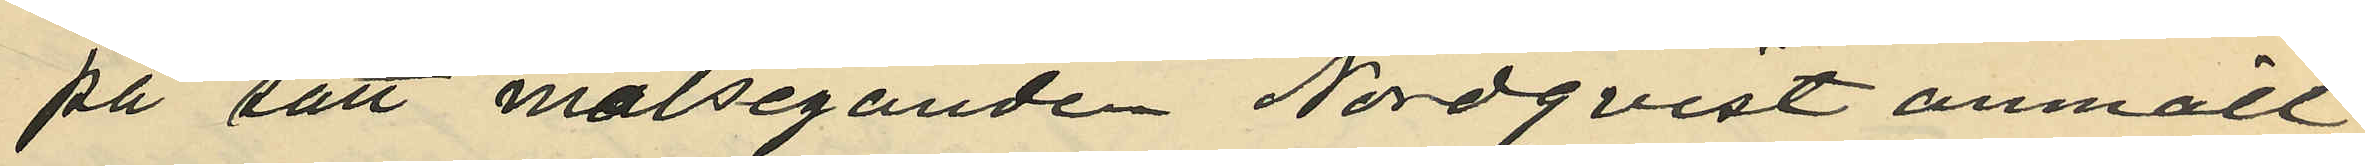på sätt målseganden Nordqvist anmält,
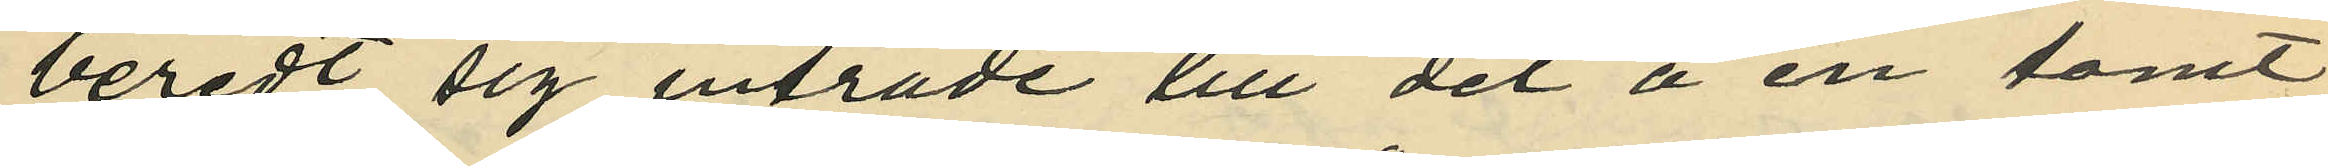beredt sig inträde till det å en tomt
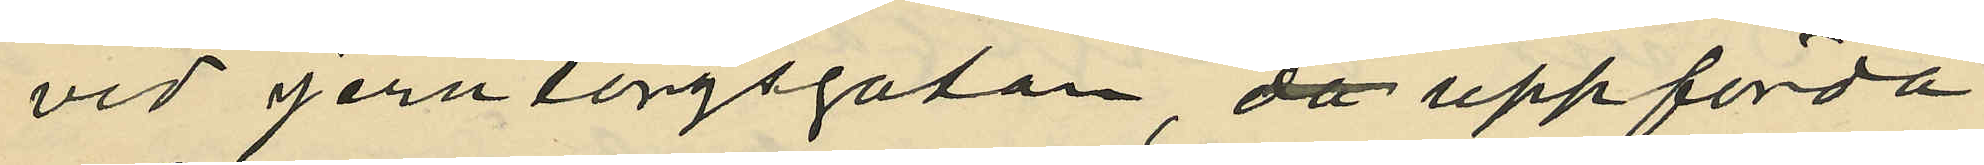vid Jerntorgsgatan uppförda
